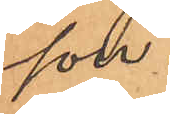son.
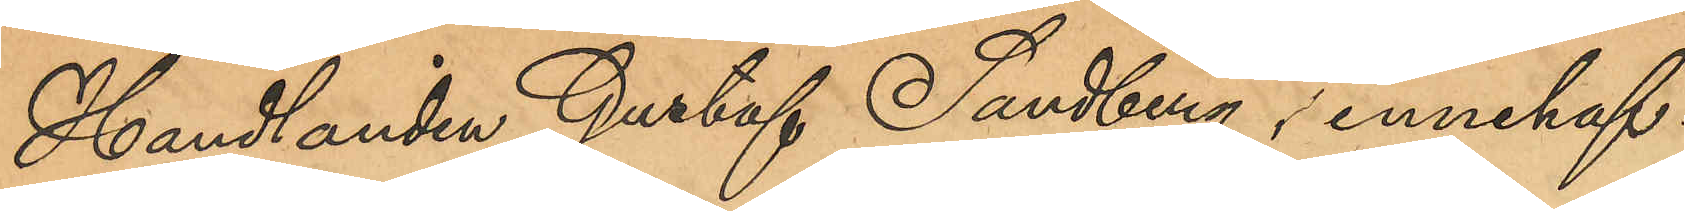Handlanden Gustaf Sandberg, innehaf¬
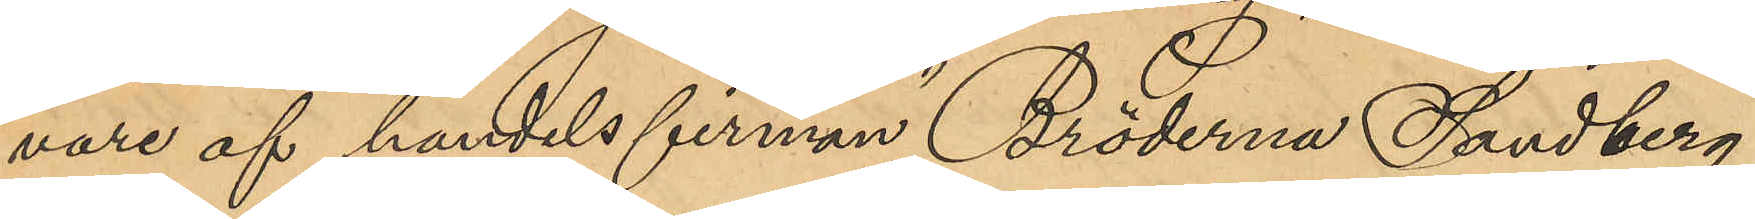vare af handelsfirman "Bröderna Sandberg",
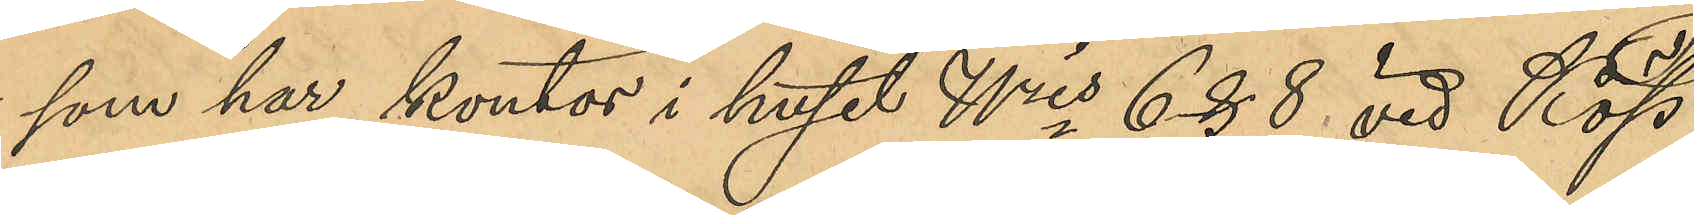som har kontor i huset Nris 6 & 8 vid Köp¬
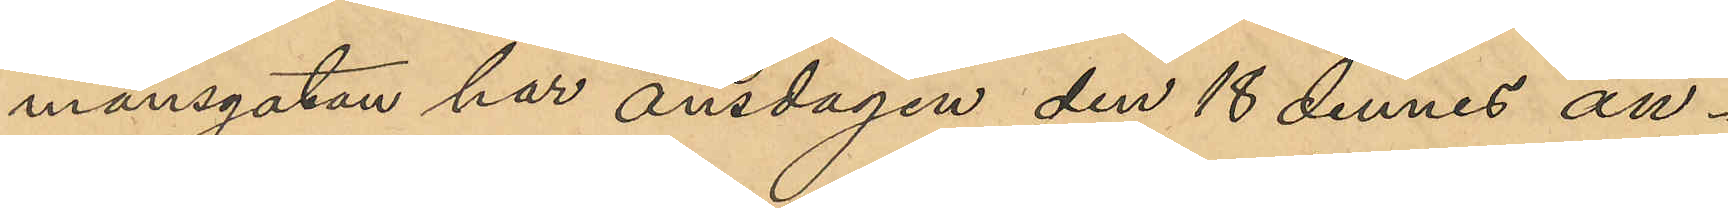mansgatan har onsdagen den 18 dennes an¬
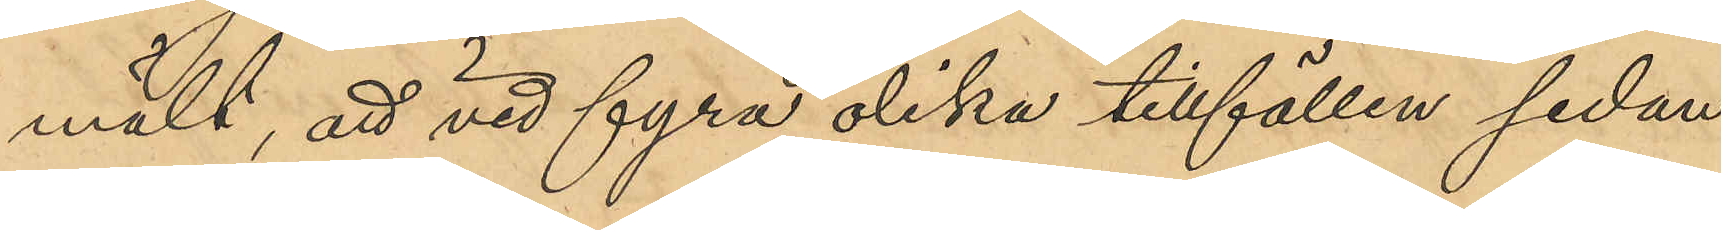mält, att vid fyra olika tillfällen sedan
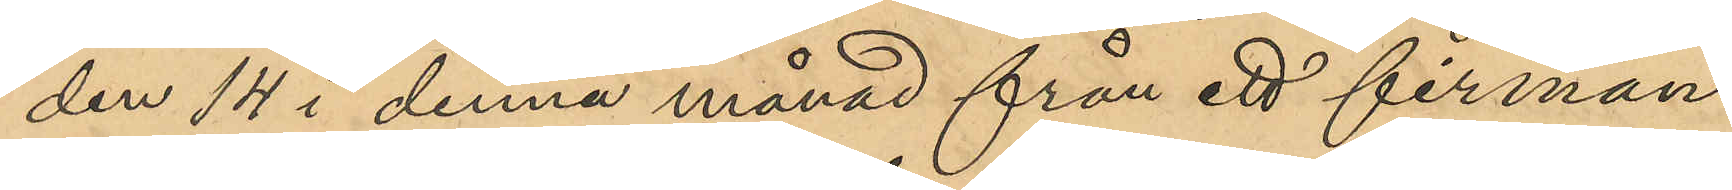den 14 i denna månad från ett firman
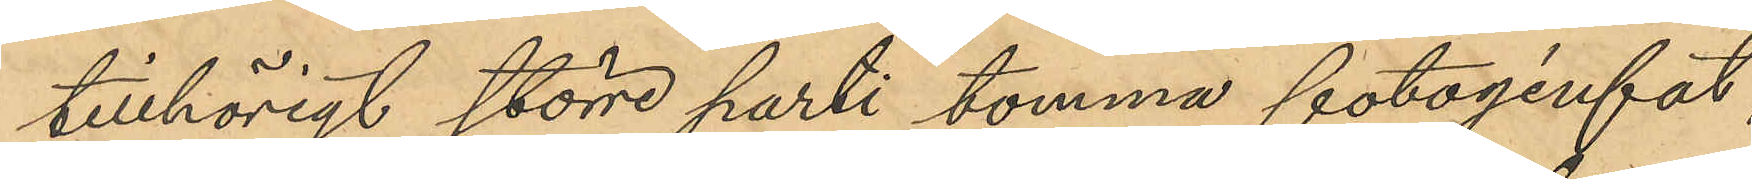tillhörigt större parti tomma fotogenfat,
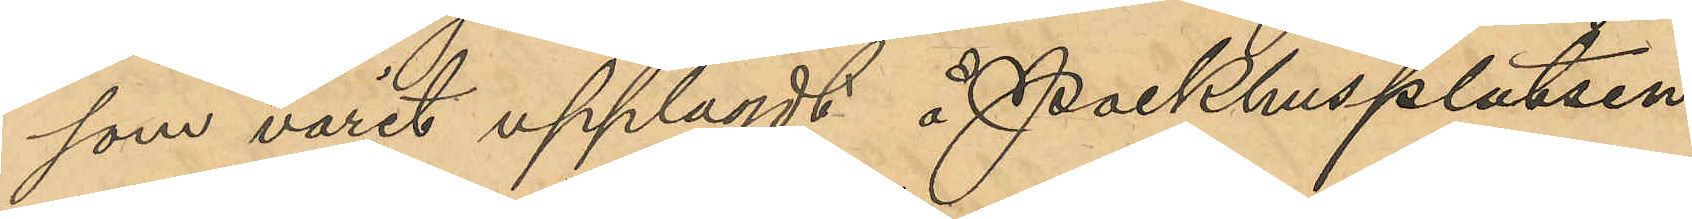som varit upplagdt å Packhusplatsen
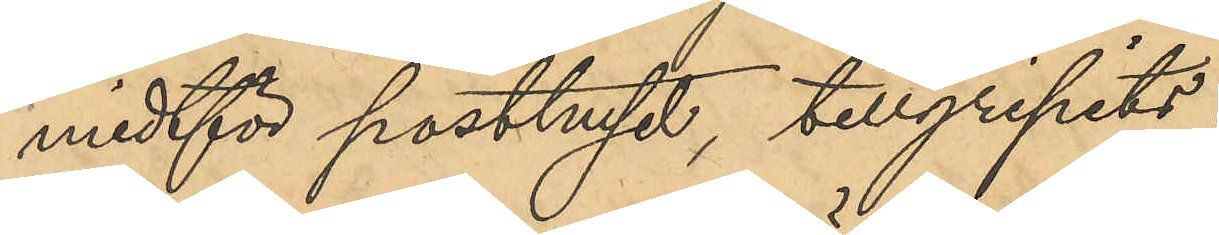midtför posthuset, tillgripits:
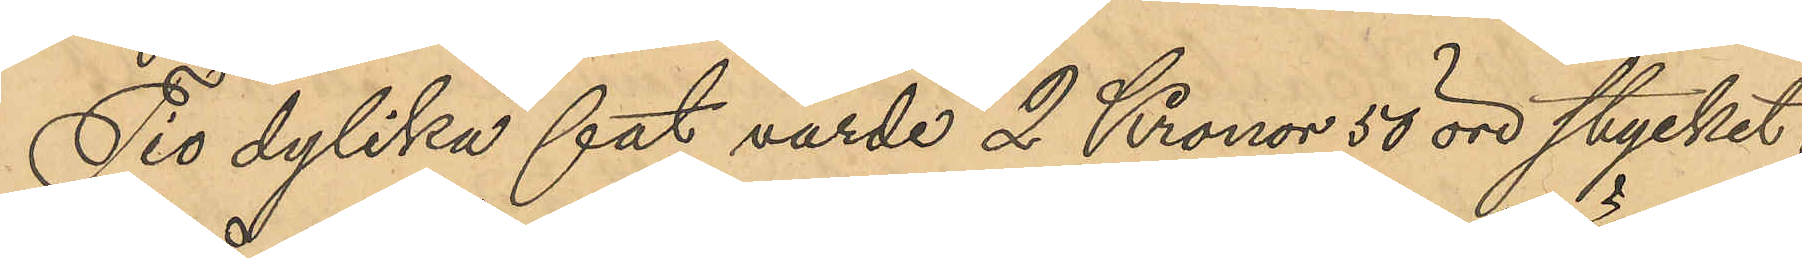Tio dylika fat, värde 2 Kronor 50 öre stycket,
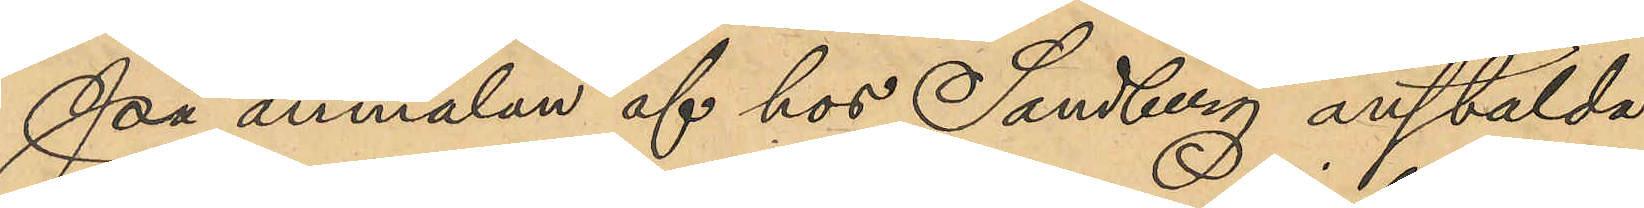på anmälan af hos Sandberg anstälda
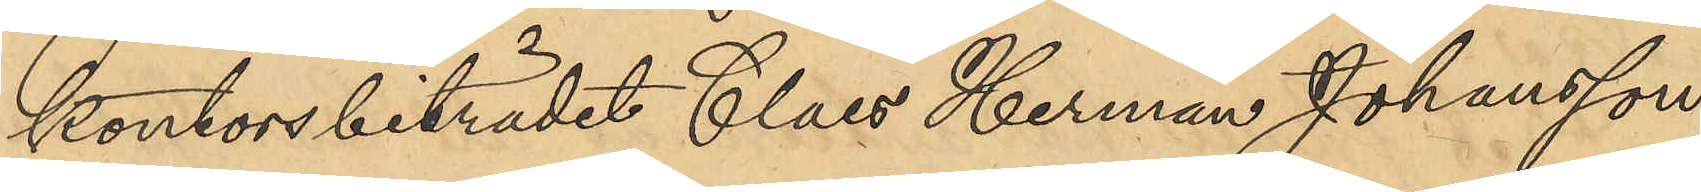kontorsbiträdet Claes Herman Johansson,
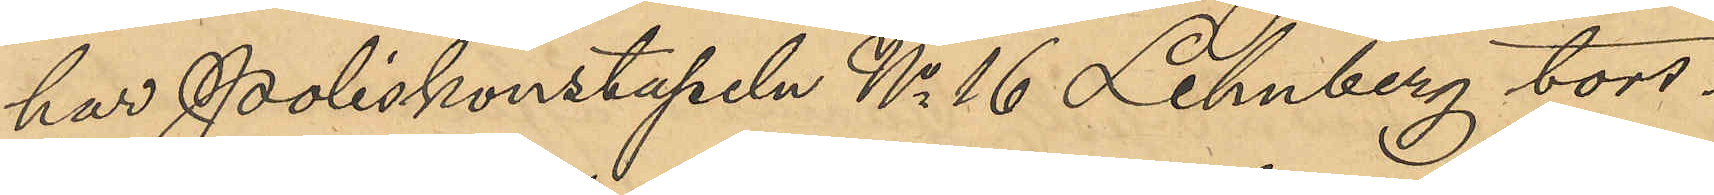har Poliskonstapeln No 16 Lehnberg tors¬
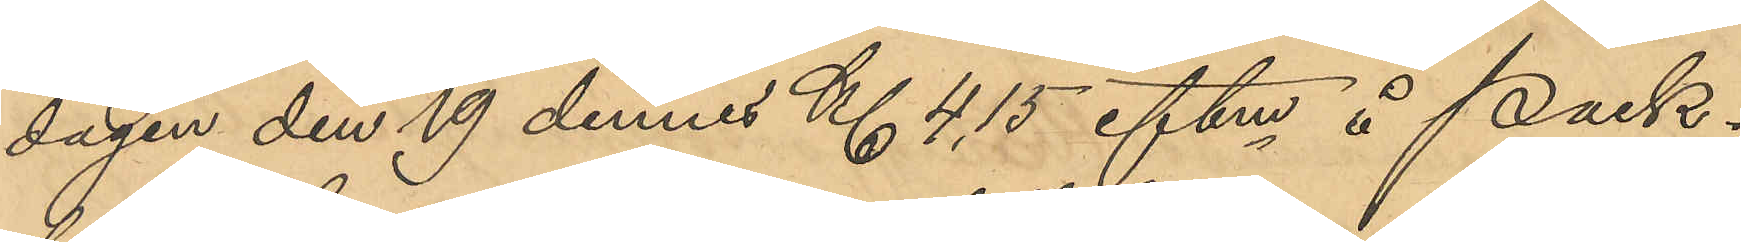dagen den 19 dennes Kl 4,15 eftm å Pack¬
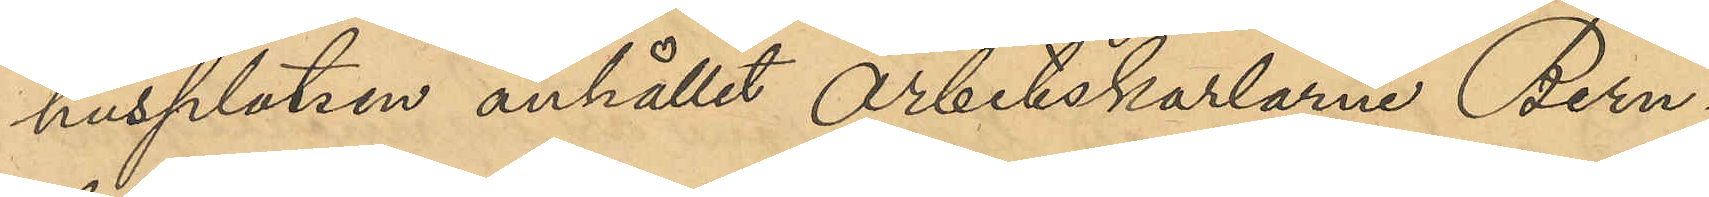husplatsen anhållit arbetskarlarne Bern¬
